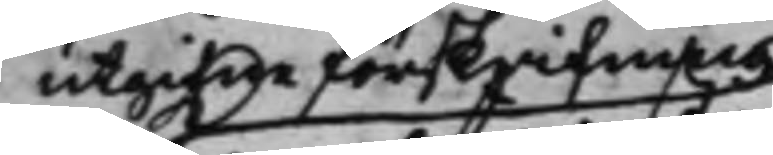utgifne förskrifning
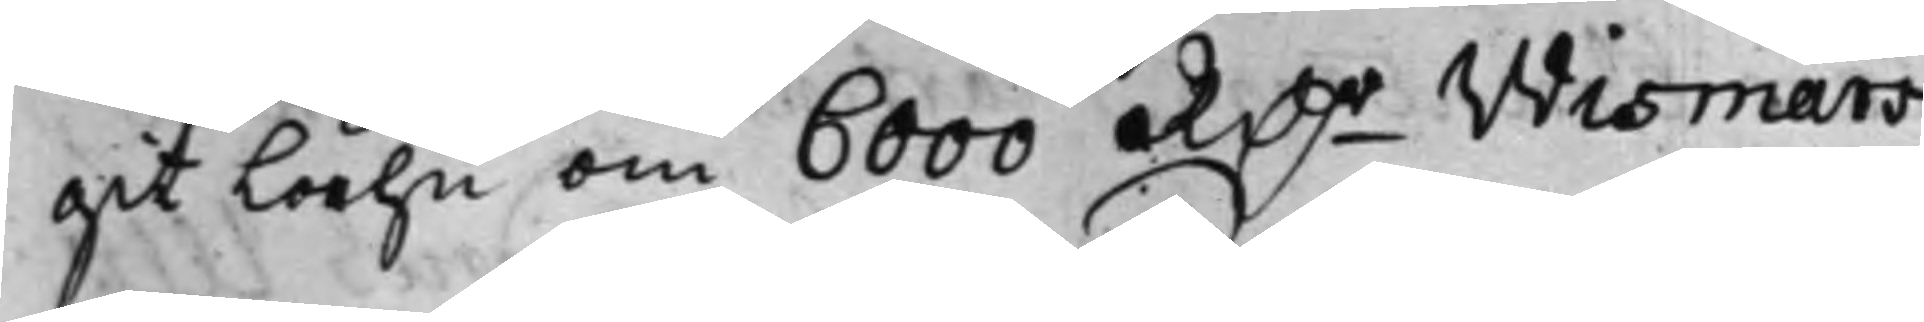git Låhn om 6000 RD.r Wismars
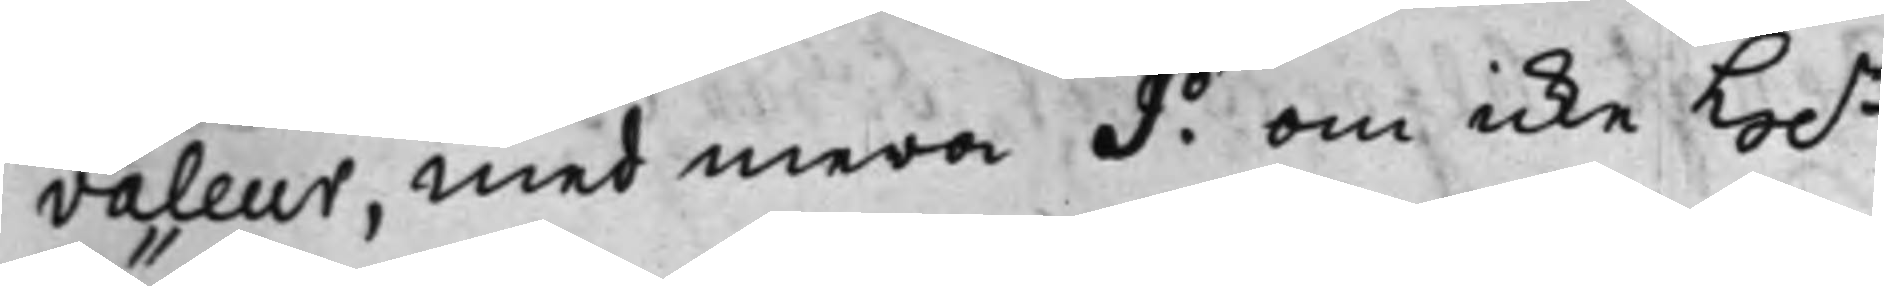valeur, med mera d.o om icke H.r
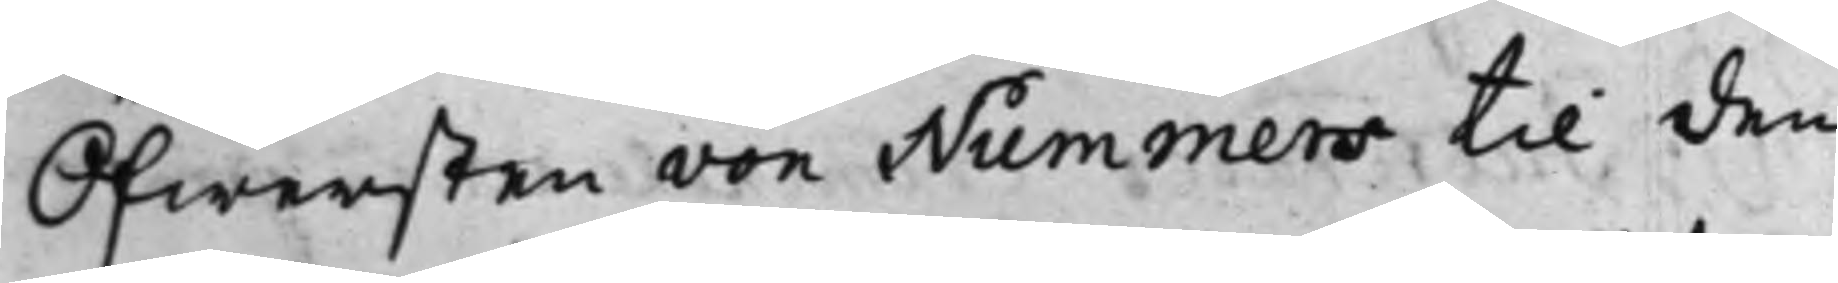Öfwersten von Nummers til den
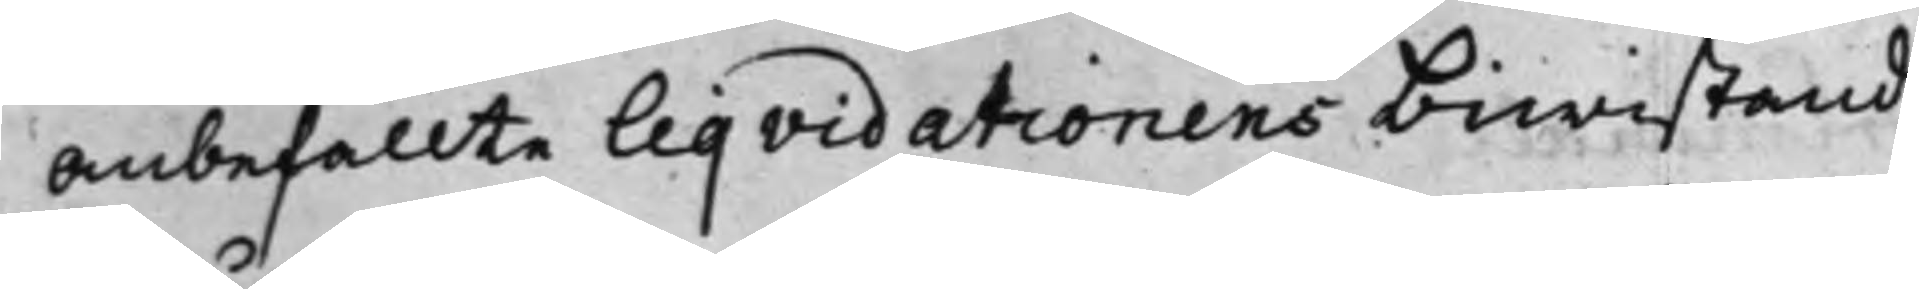Anbefallte Liqvidationens biwistande
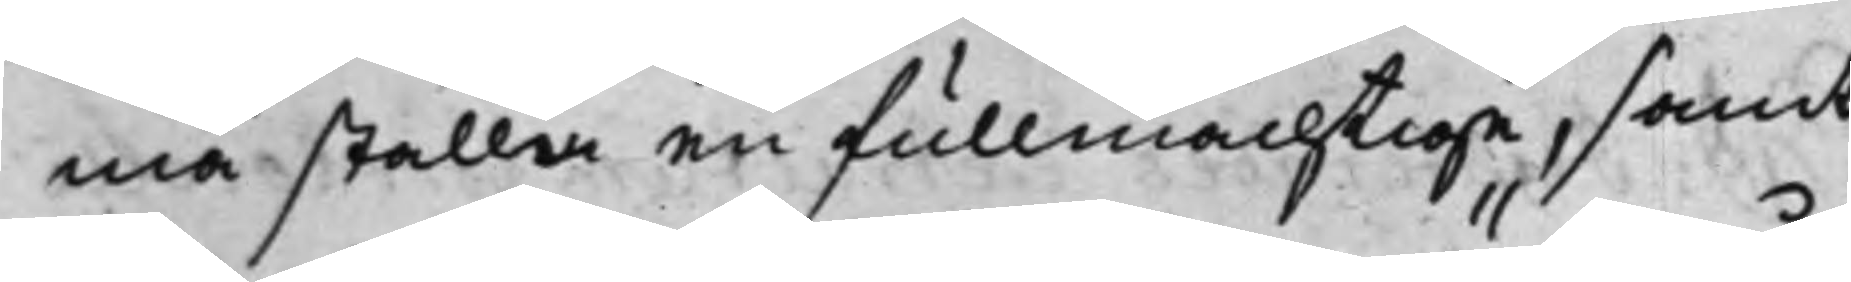må ställa en fullmächtige, samt
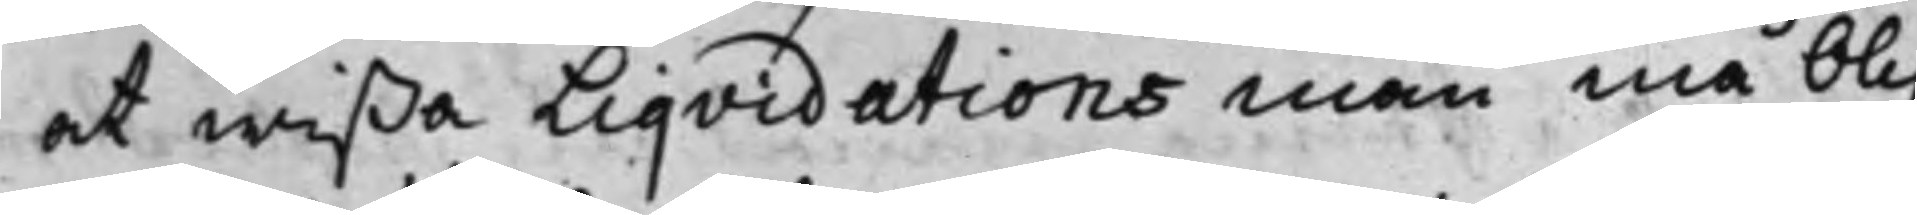at wißa Liqvidations män må blif¬
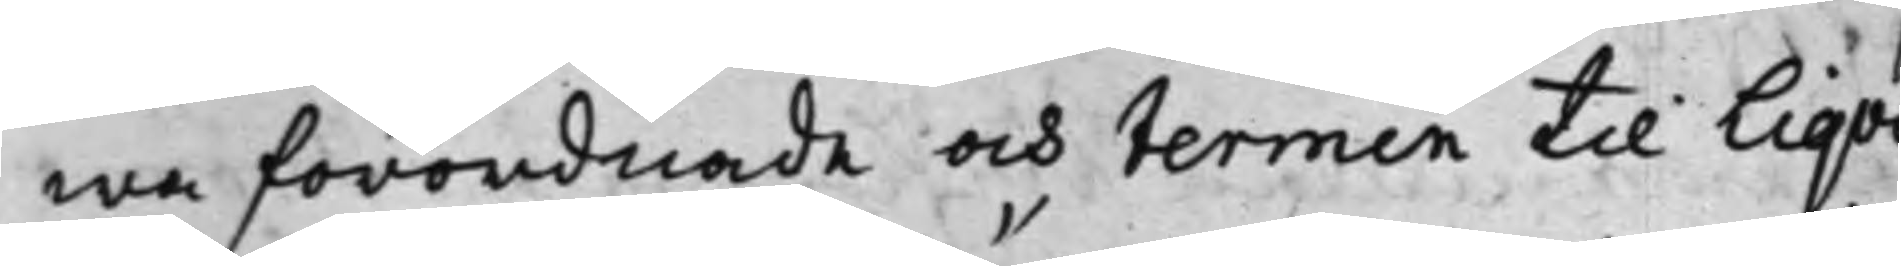wa förordnade och termin til Liqvi¬
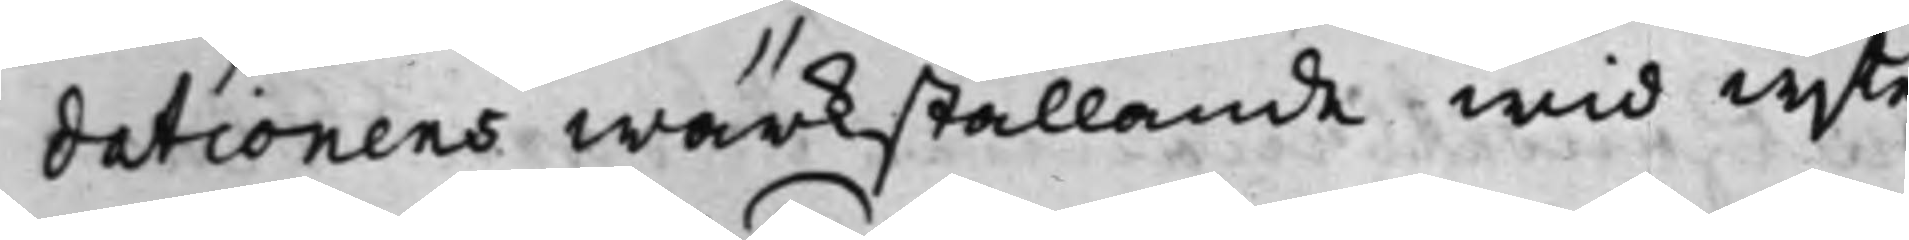dationens wärkställande wid wjte
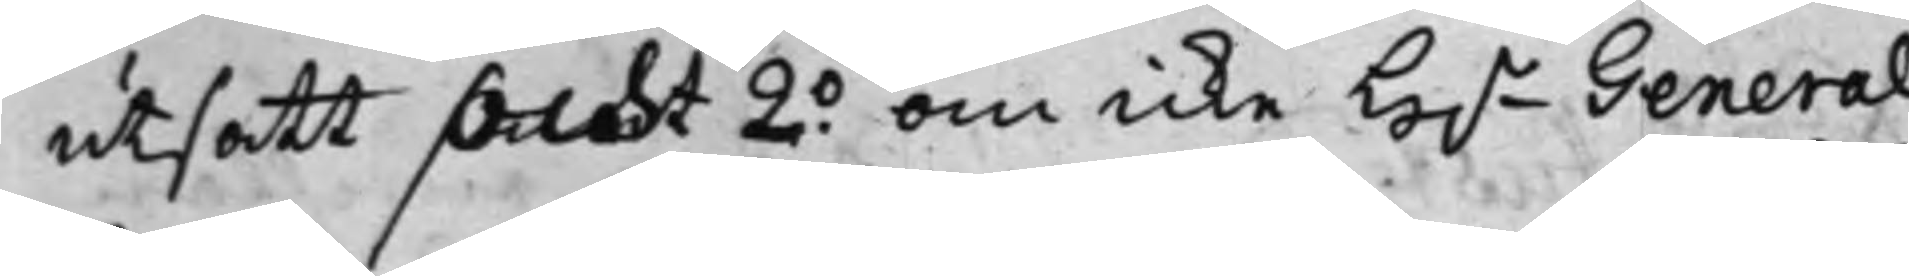utsatt puncht 2.o om icke H.r General
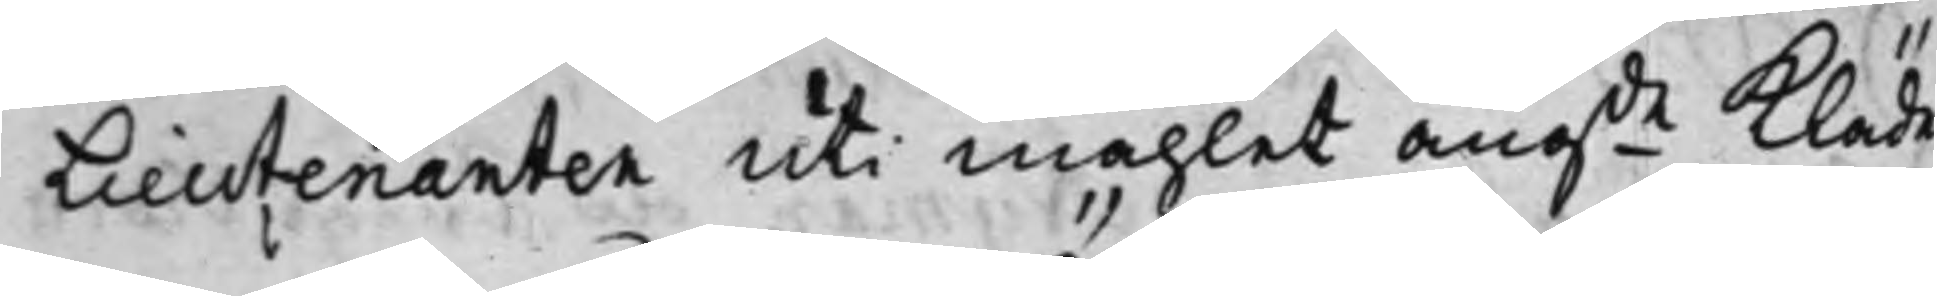Lieutenanten uti måhlet angde Kläder
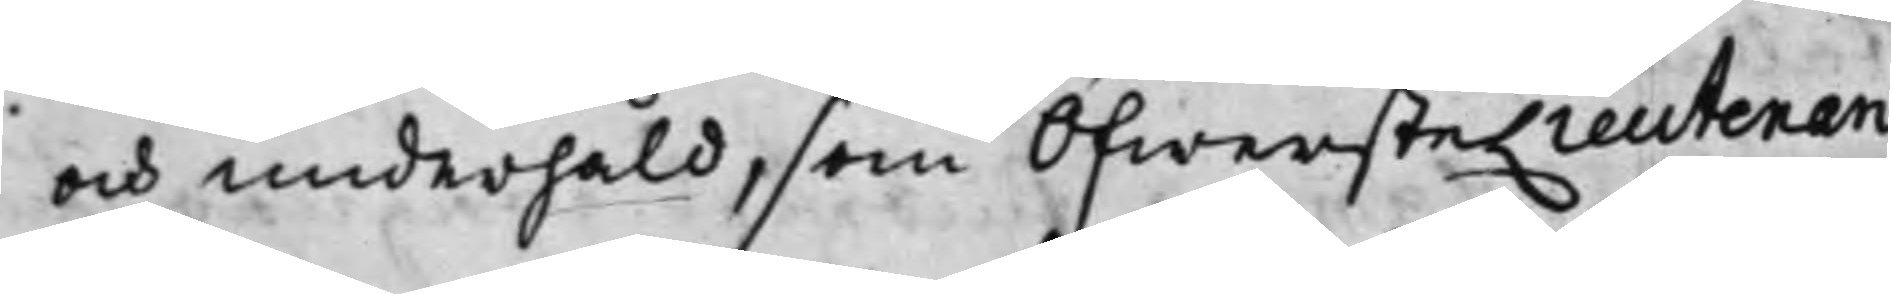och underhåld, som ÖfwersteLieutenan¬
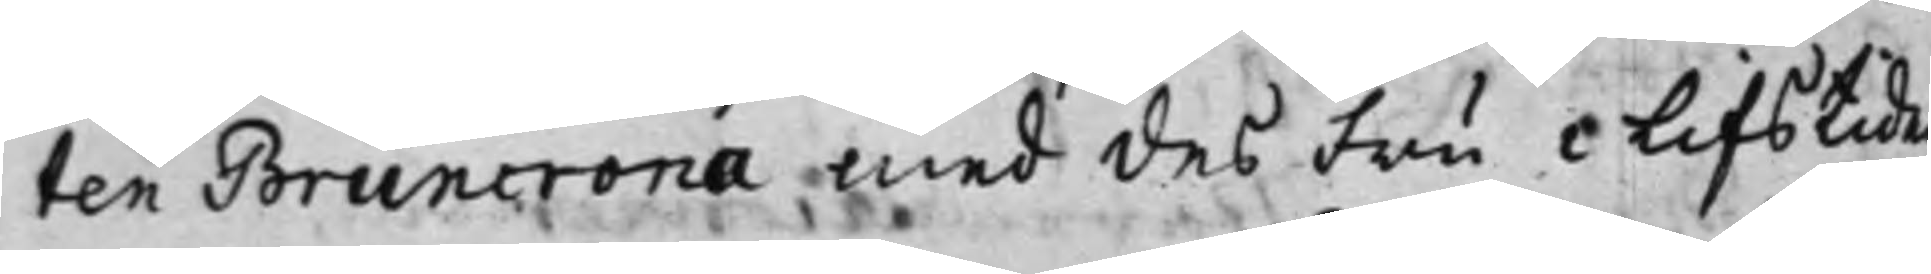ten Bruncrona med des Fru i Lifstiden
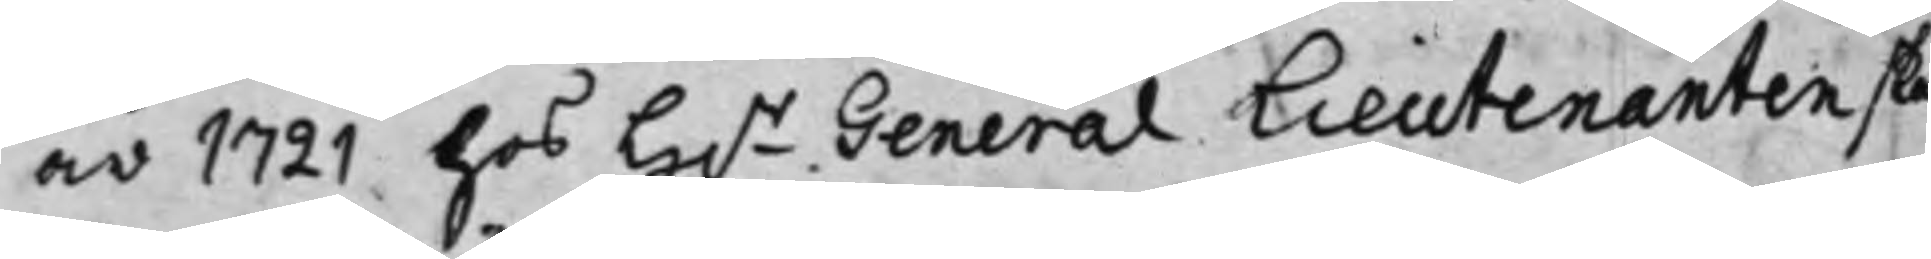år 1721 hos H.r General Lieutenanten skall
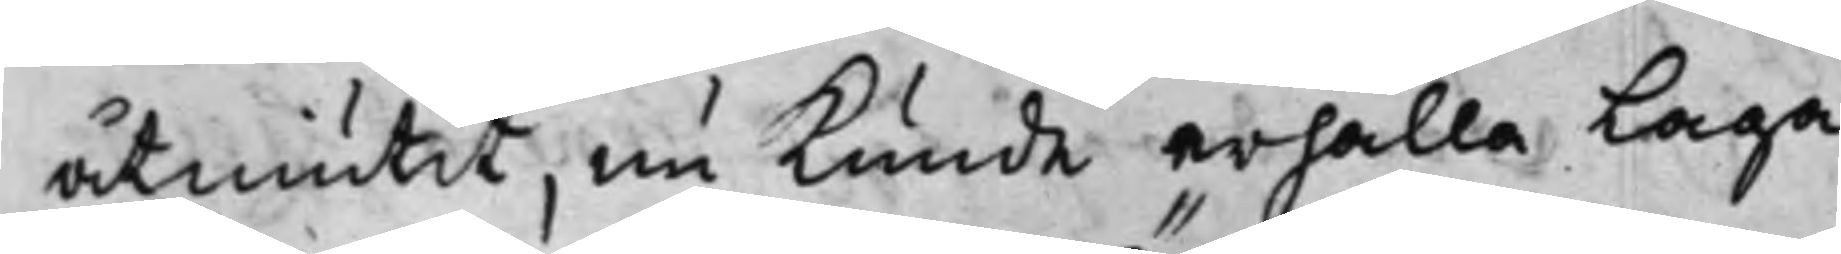åtniutit, nu Kunde erhålla Laga
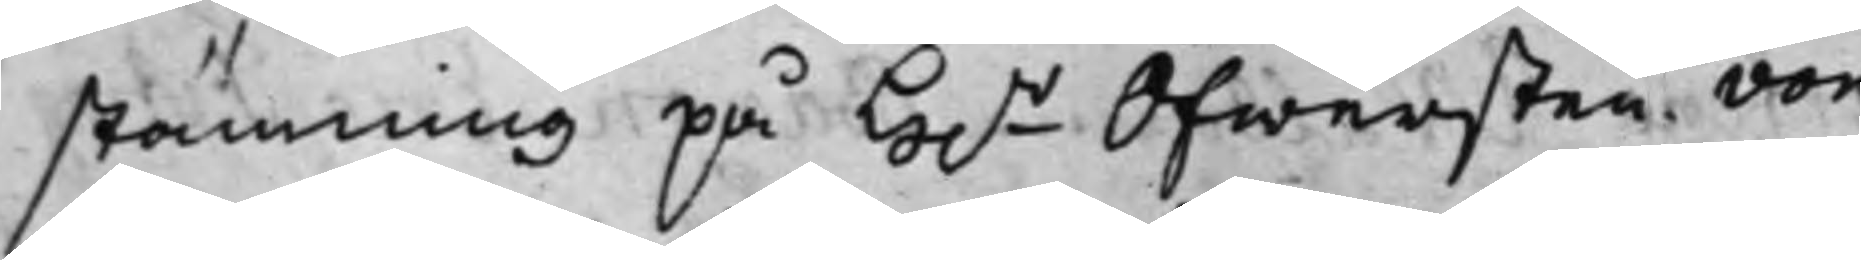stämning på H.r Öfwersten von
